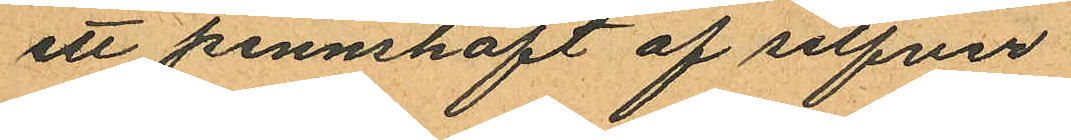ett pennskaft af silfver
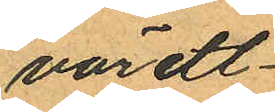värdt
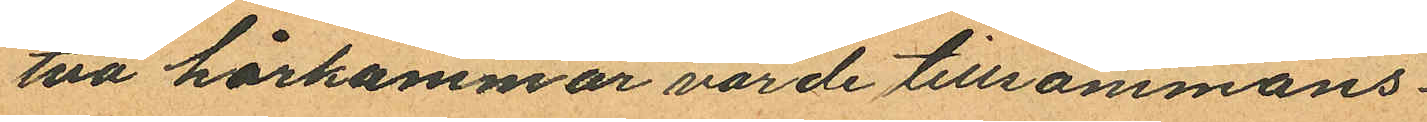två hårkammar värde tillsammans
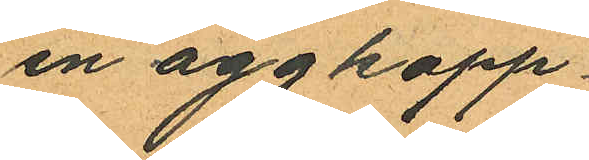en äggkopp
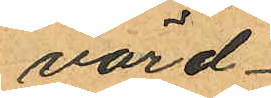värd
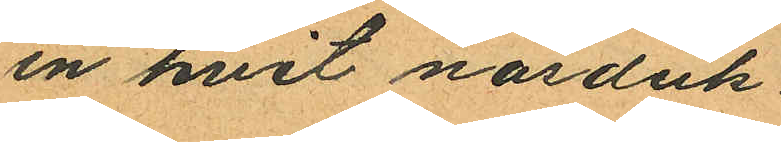en hvit näsduk
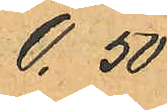0.50
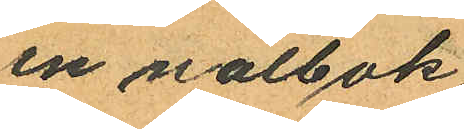en nålbok
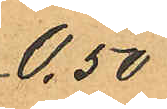0.50
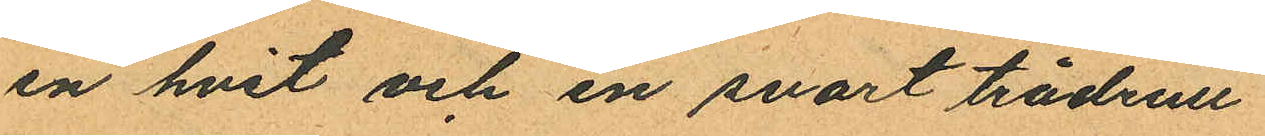en hvit och en svart trådrull
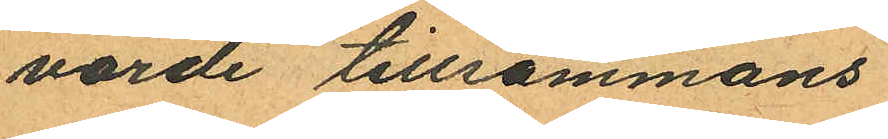värde tillsammans
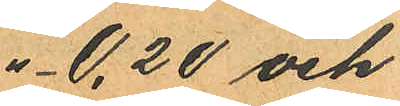" 0.20 och
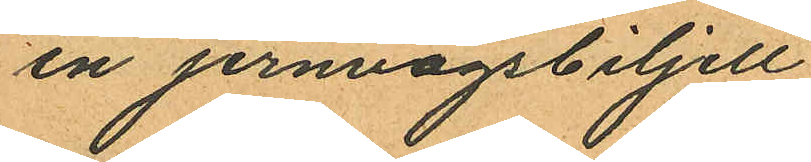en jernvägsbiljell
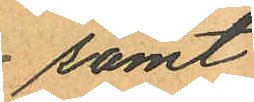samt
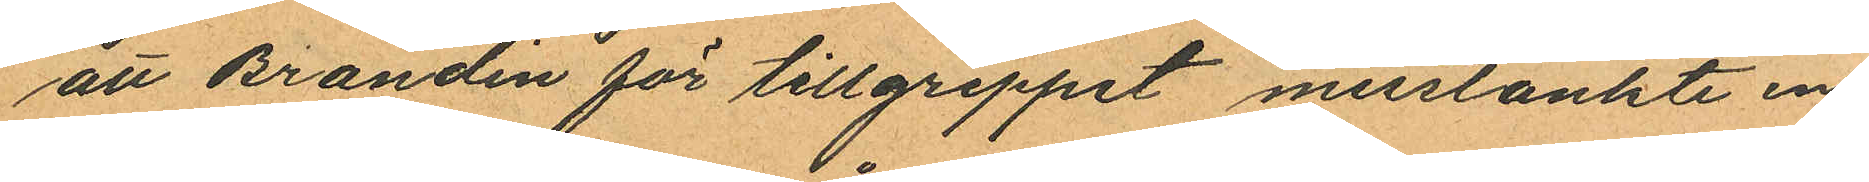att Brandin för tillgreppet misstänkte en
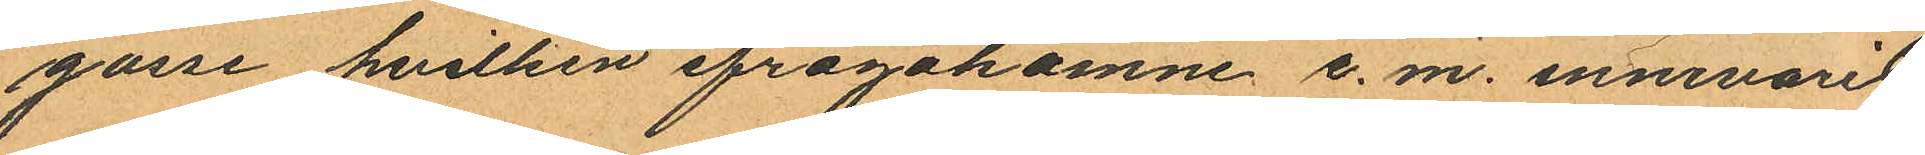gosse hvilken ifrågakomne e. m. innevarit
